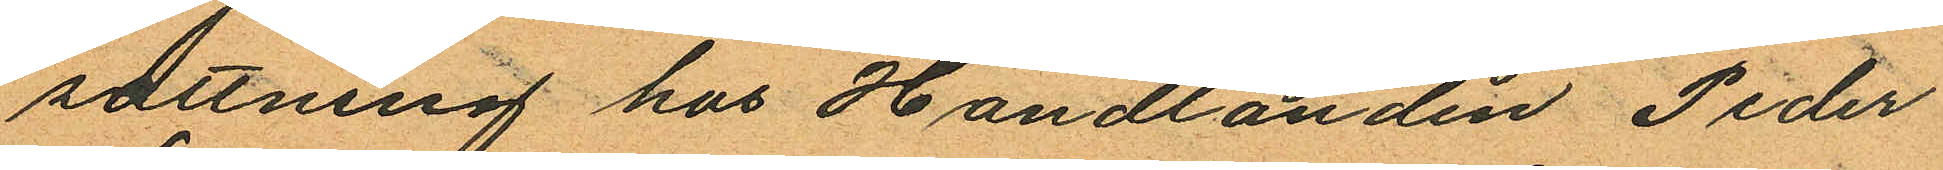sattning hos Handlanden Peder
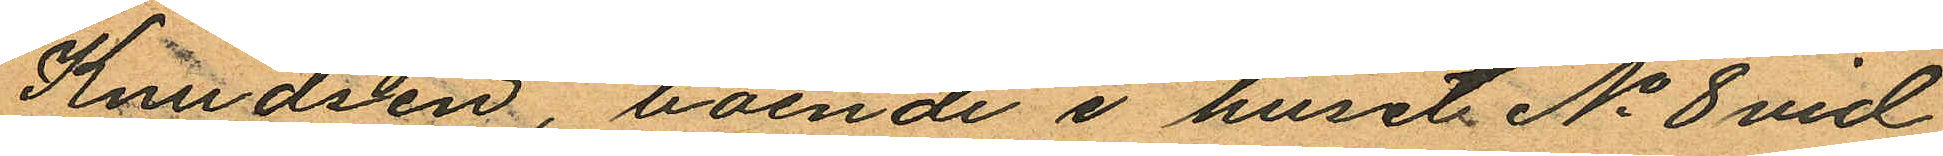Knudsen, boende i huset No 8 vid
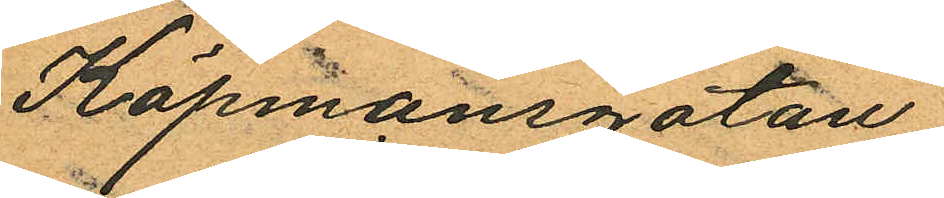Köpmansgatan.
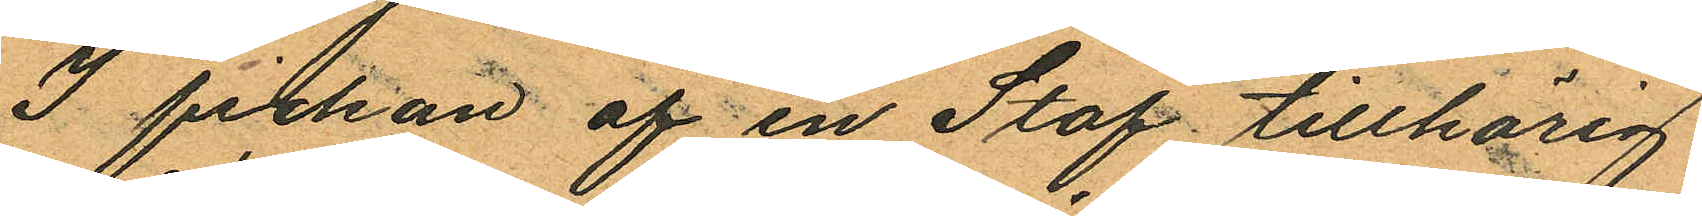I fickan af en Staf tillhörig
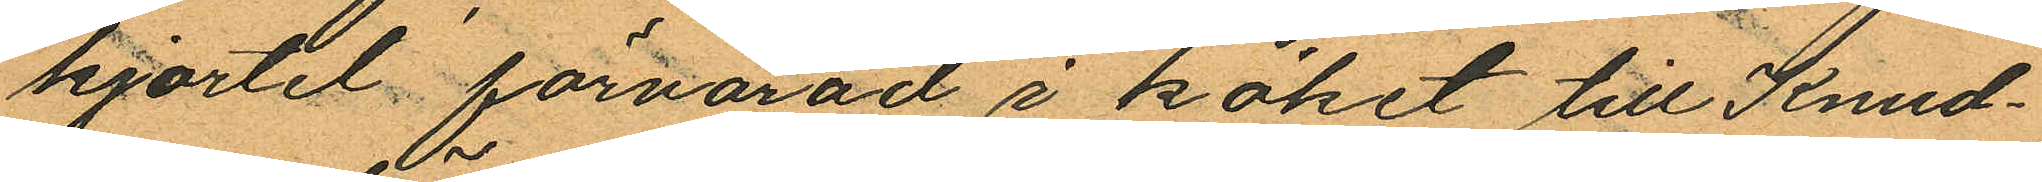kjortel förvarad i köket till Knud¬
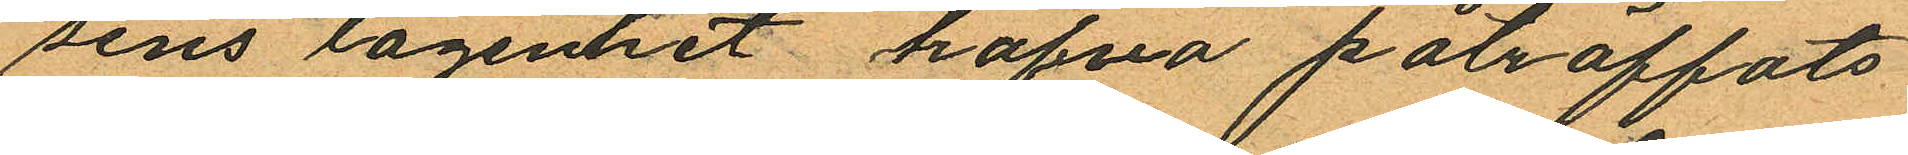sens lägentet hafva påträffats
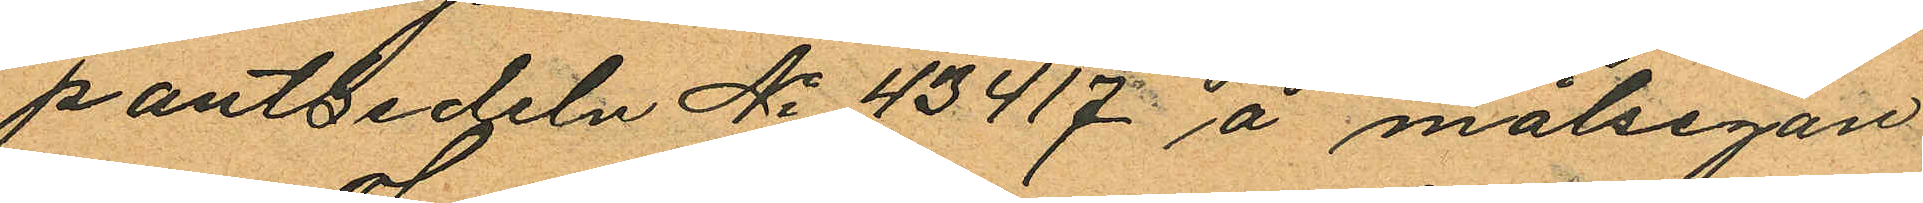pantsedeln No 43417 å målsegan
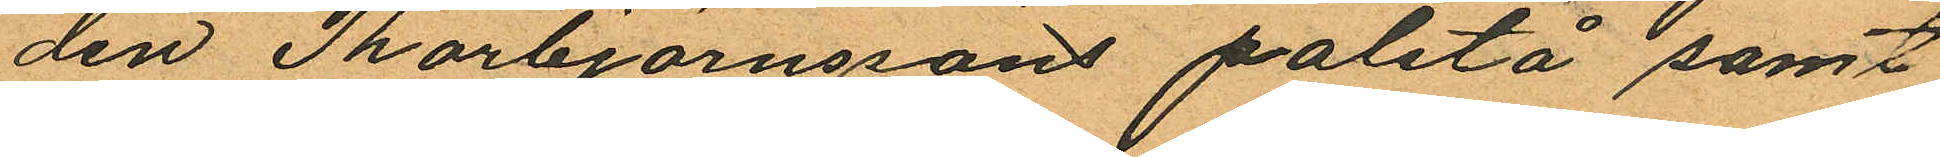den Thorbjörnssons paletå samt
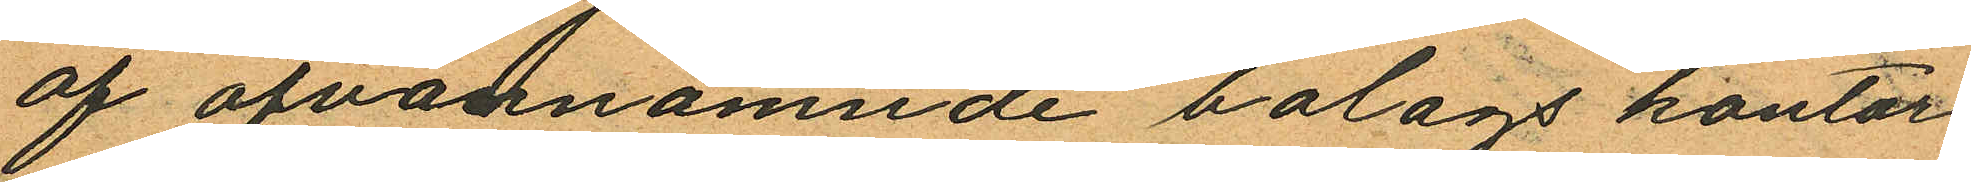af ofvannämnde bolags kontor
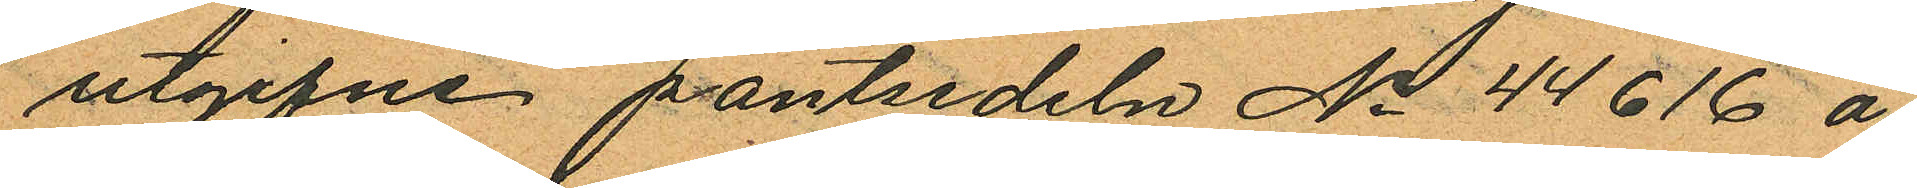utgifne pantsedeln No 44616 å
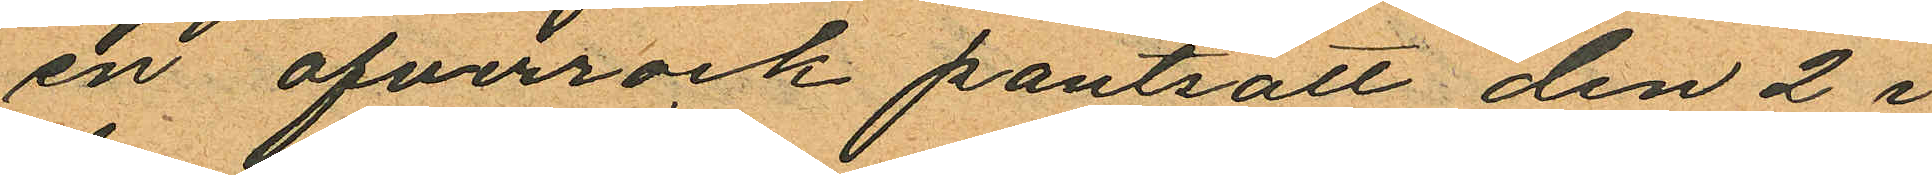en öfverrock pantsatt den 2 i
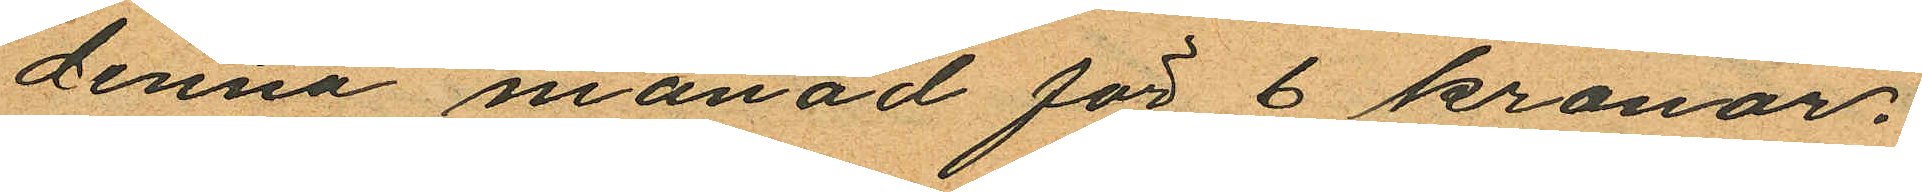denna månad för 6 kronor.
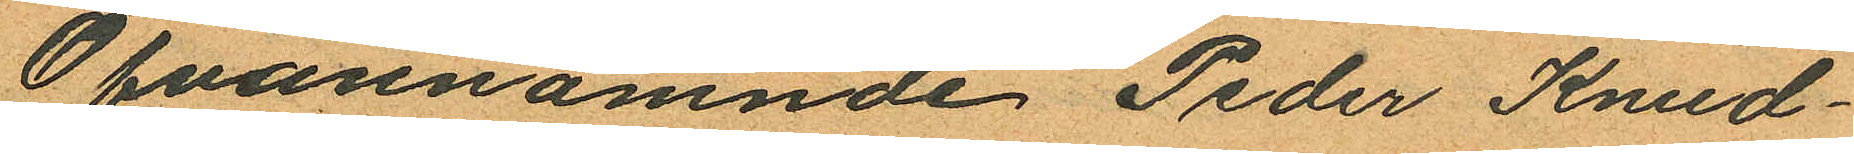Ofvannämnde Peder Knud¬
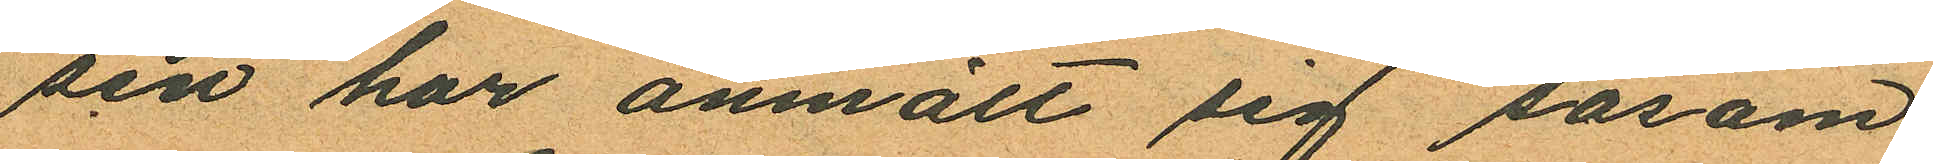sen har anmält sig såsom
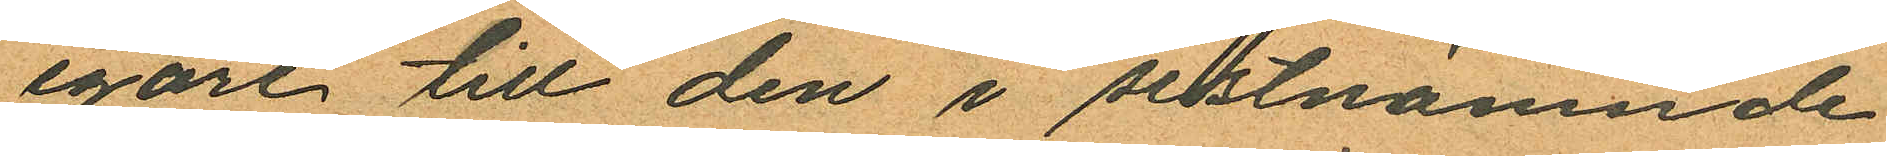egare till den i sistnämnde
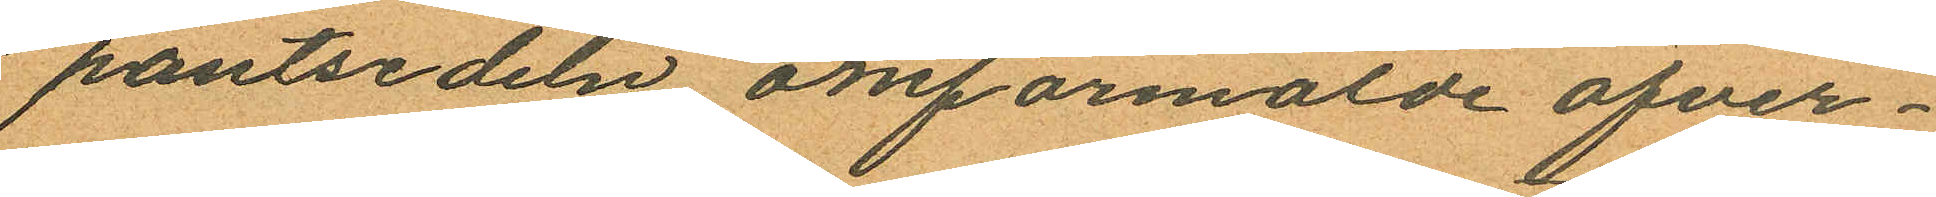pantsedeln omförmälde öfver¬
